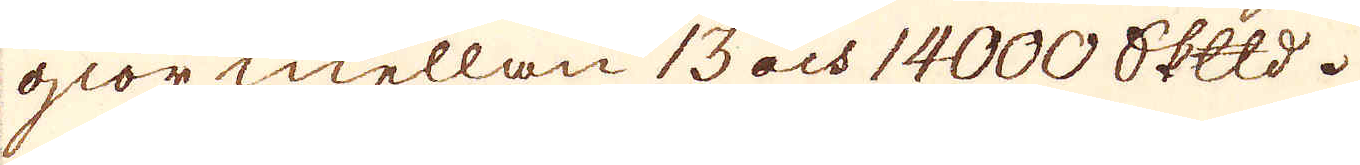giör mellan 13 och 14000 skeppund.
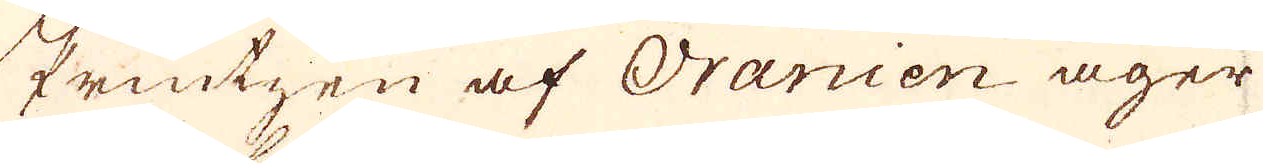Printzen af Oranien äger
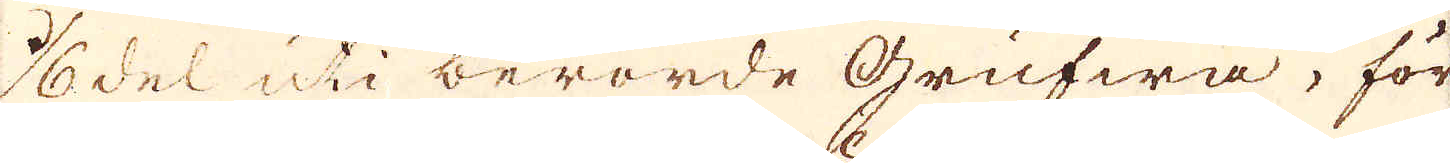1/6 del uti berörde grufwa, för
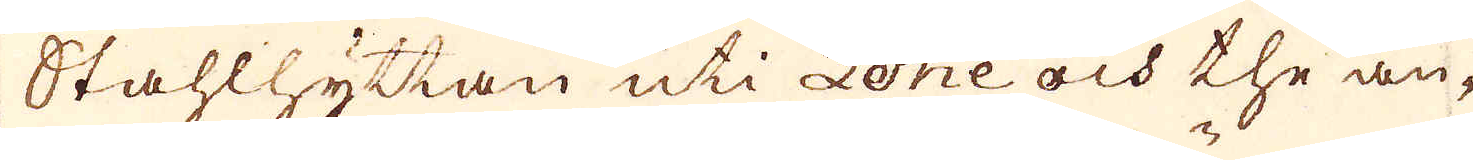Stahlhyttan uti Lohe och the an-
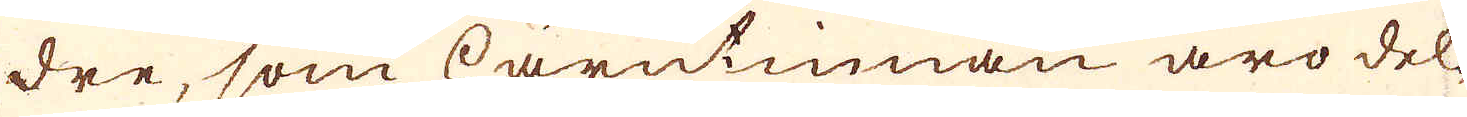dre, som härutinnan äro del-
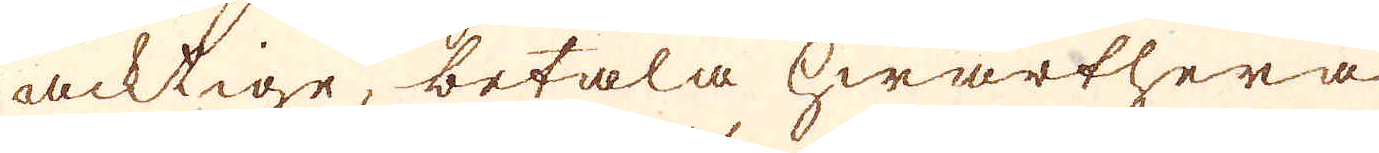acktige, betala hwarthera
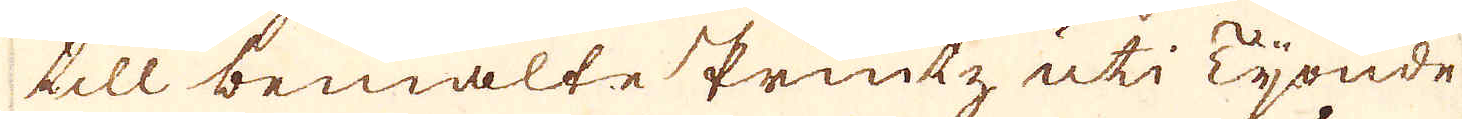till bemälte Printz uti Tionde
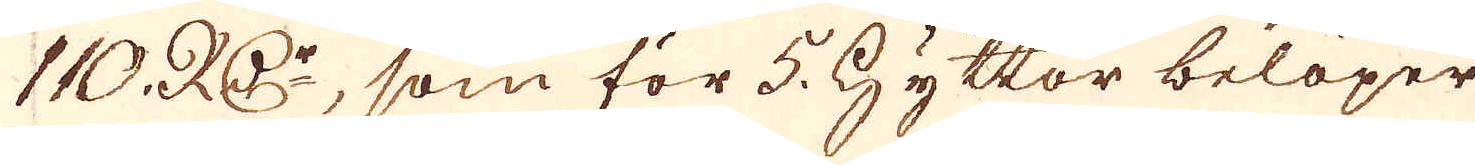110. RD:r, som för 5. Hyttor belöper
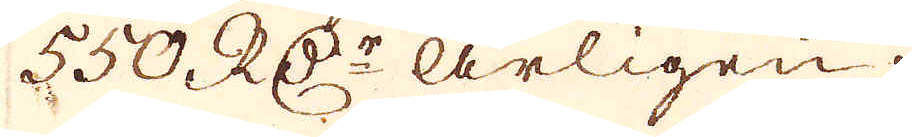550. RD:r årligen.
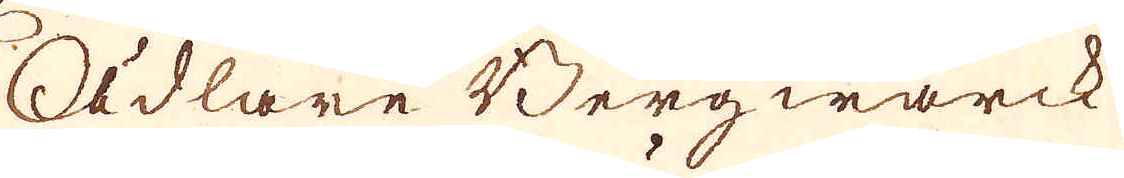Ädlare Bergwärck
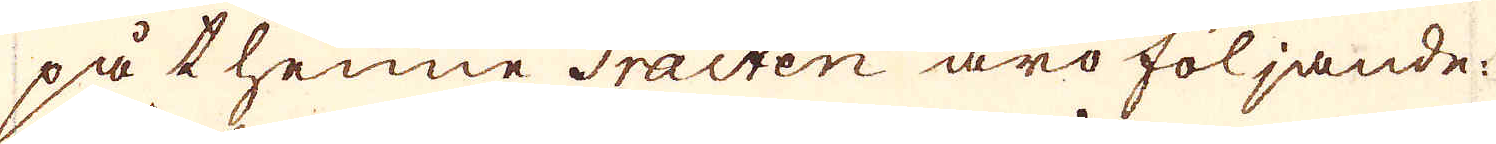på thenne Tracten äro följande:
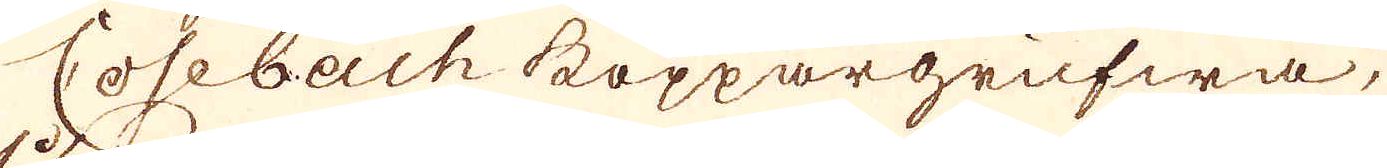Cosebach koppargrufwa,
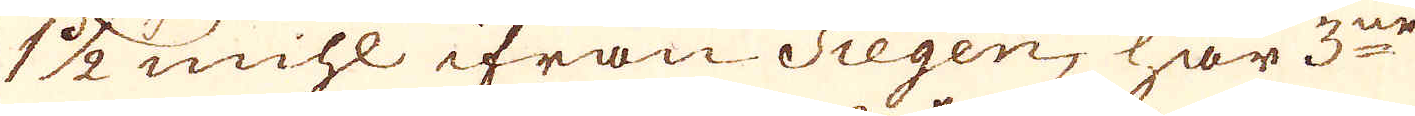1 1/2 mihl ifrån Siegen, har 3ne
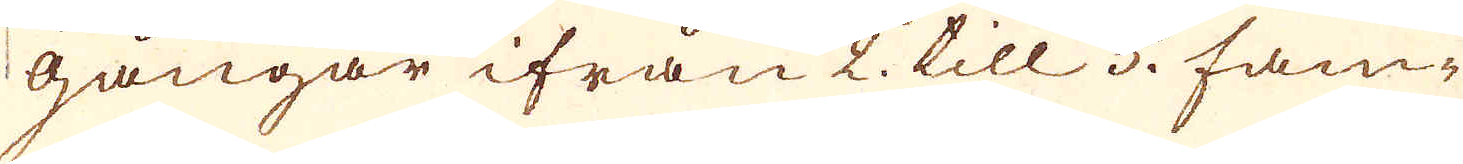gångar ifrån 2. till 5. fam-
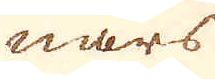nars
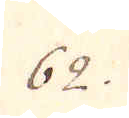62.
